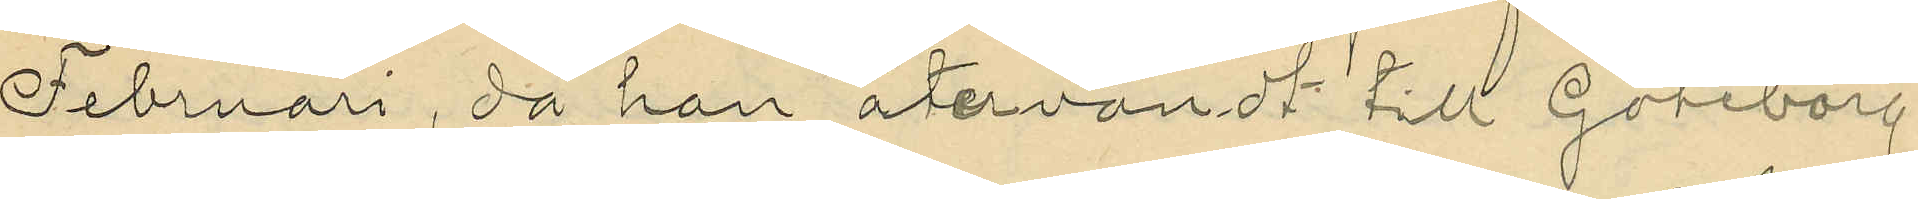Februari, då han återvändt till Göteborg
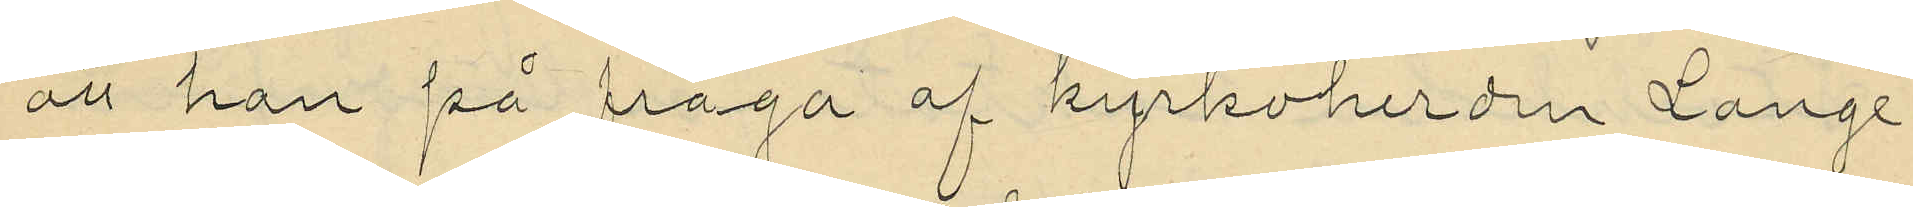att han på fråga af kyrkoherden Lange,
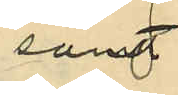samt
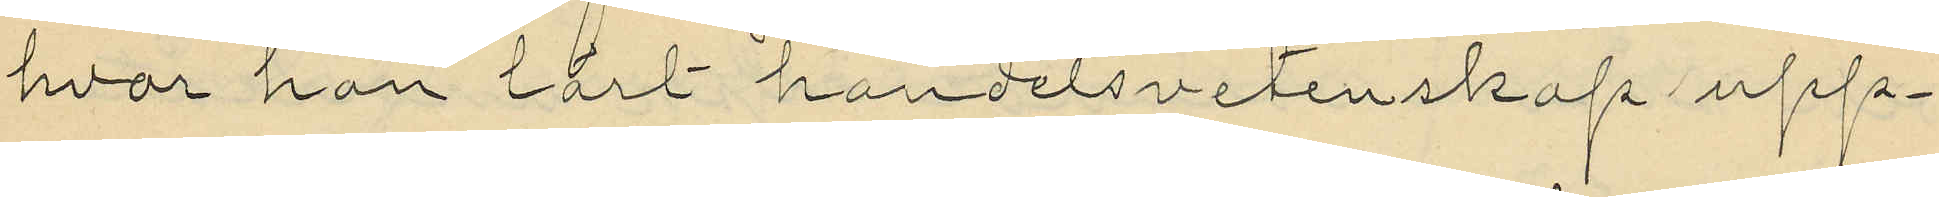hvar han lärt handelsvetenskap upp¬
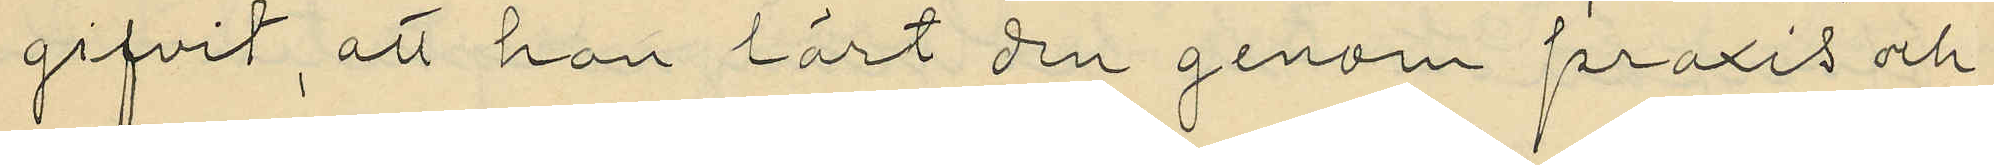gifvit, att han lärt den genom praxis och
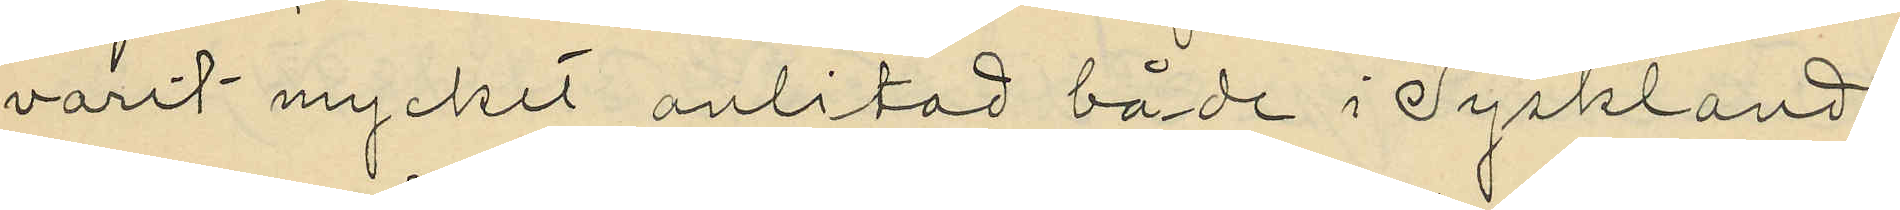varit mycket anlitad både i Tyskland,
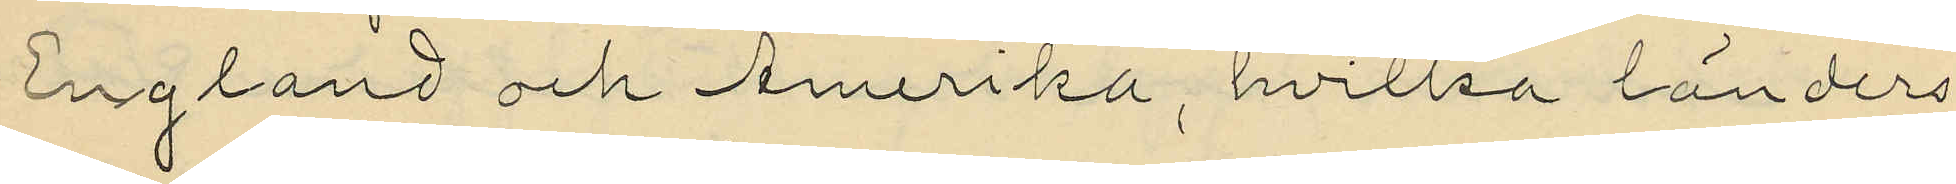England och Amerika, hvilka länders
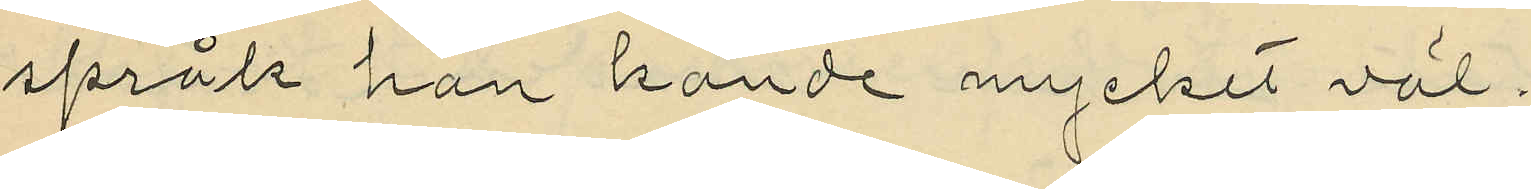språk han kände mycket väl.
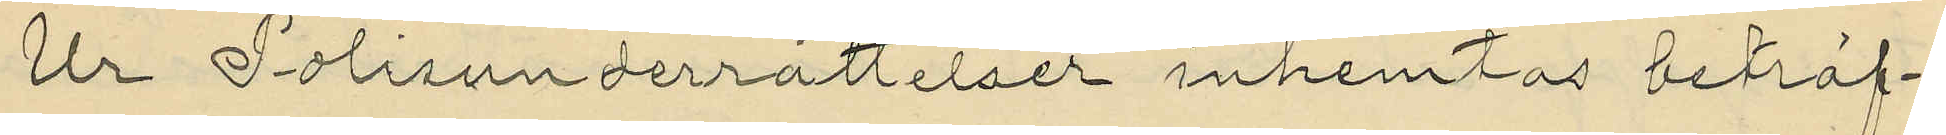Ur Polisunderrättelser inhemtas beträf¬
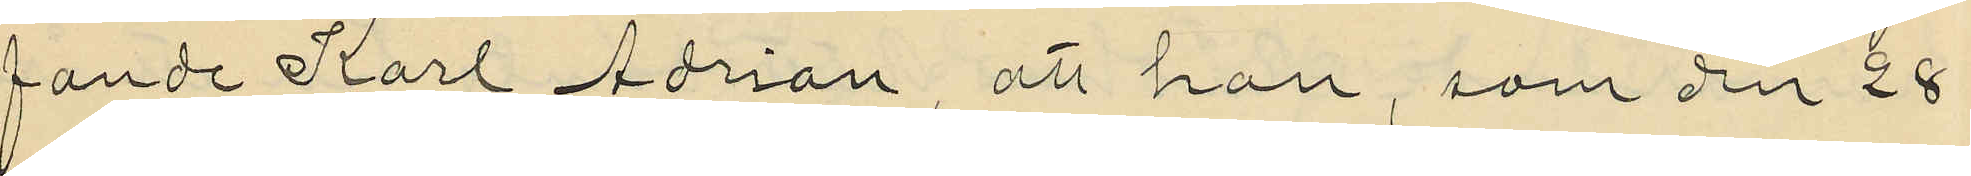fande Karl Adrian, att han, som den 28
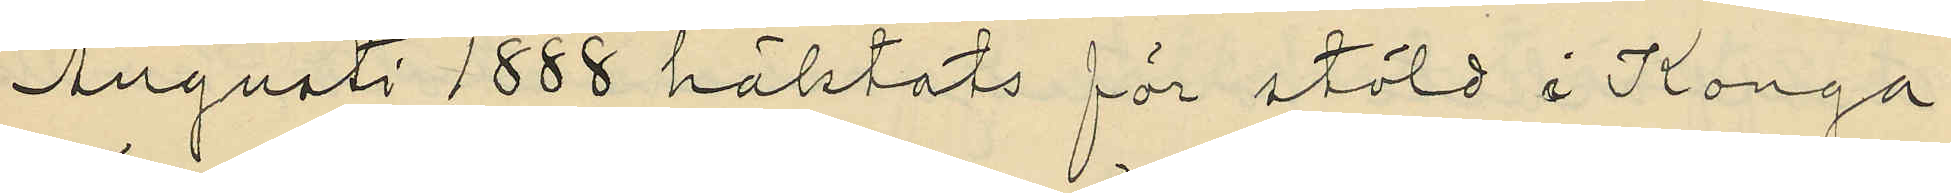Augusti 1888 häktats för stöld i Konga
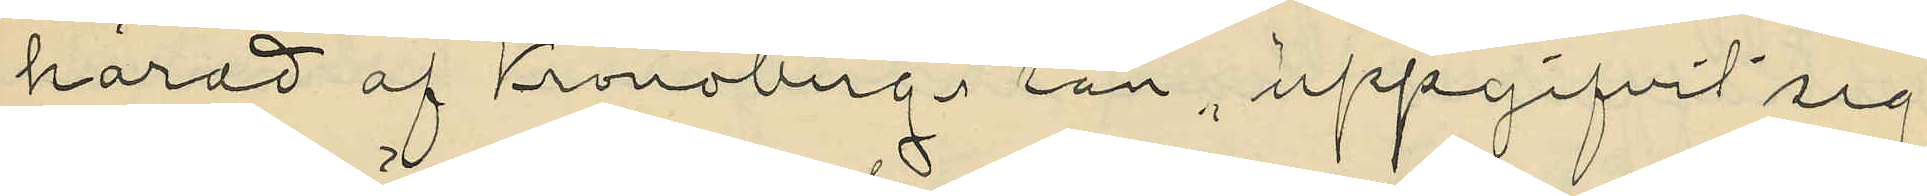härad af Kronobergs län, uppgifvit sig
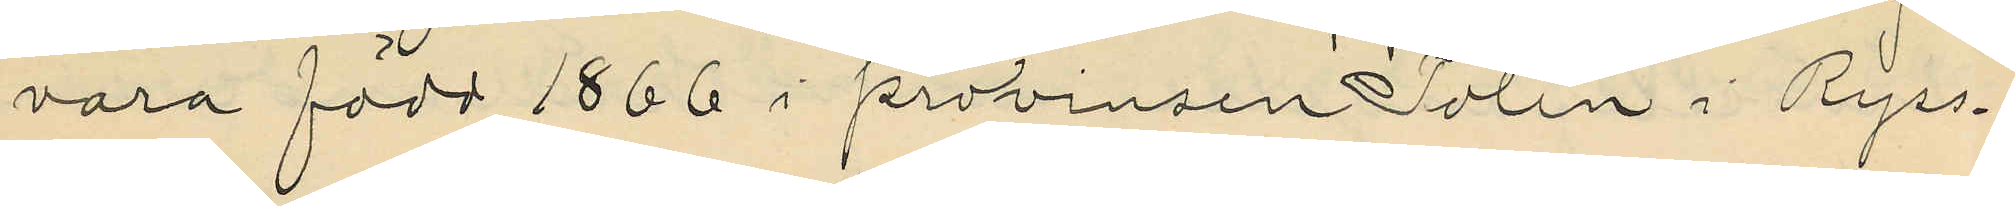vara född 1866 i provinsen Polen i Ryss¬
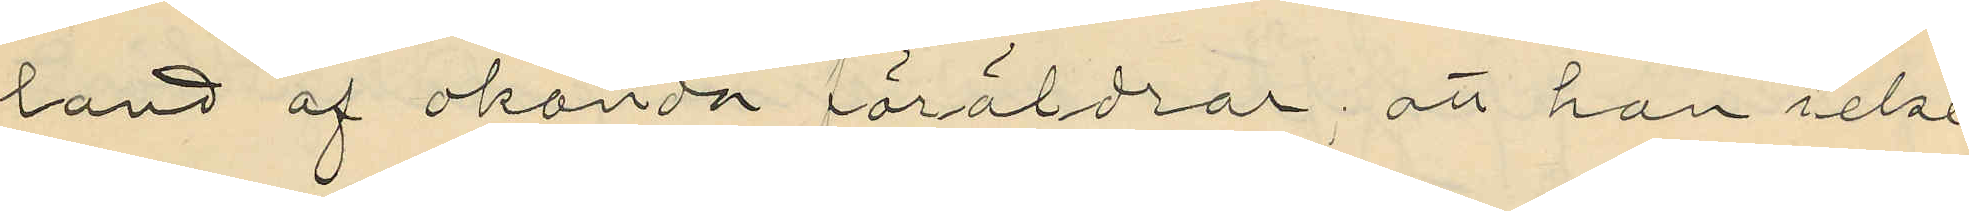land af okända föråldrar; att han icke
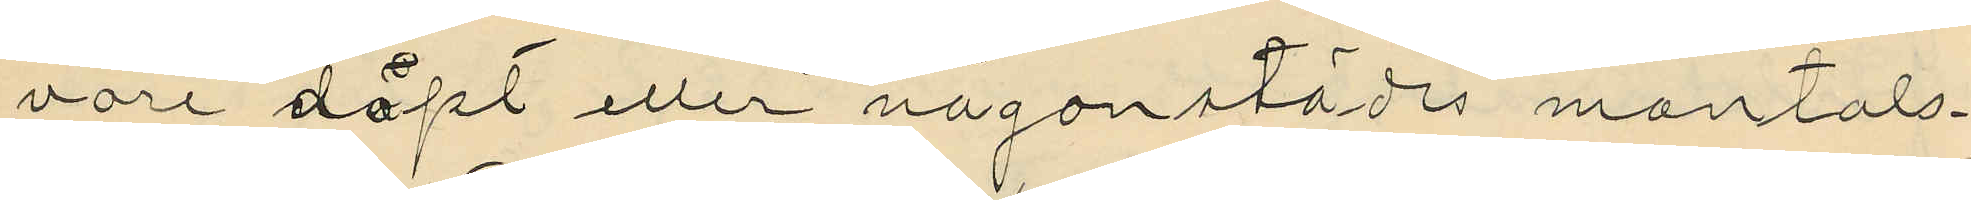vore döpt eller någonstädes mantals¬
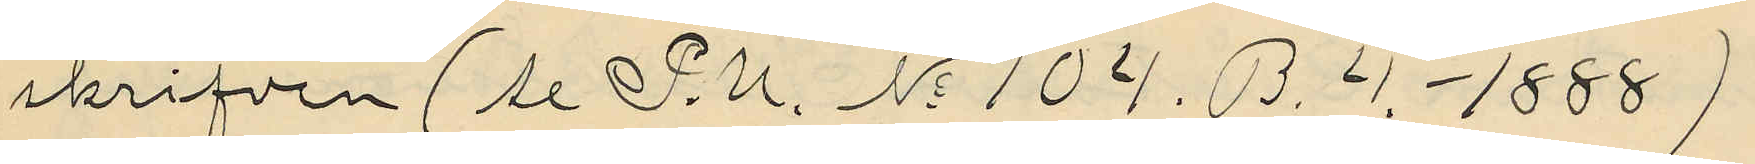skrifven (se P.U. No 104. B. 4. 1888)
